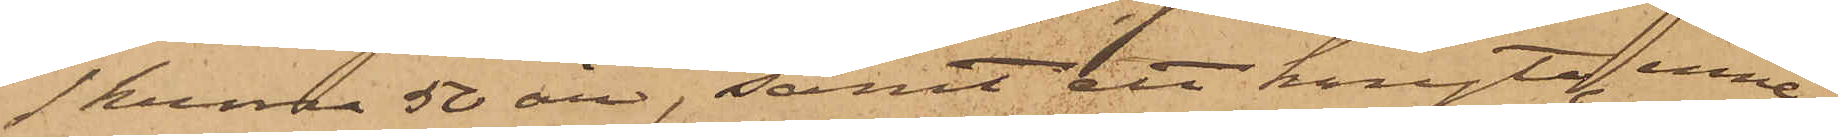1 krona 50 öre, samt ett knyte, inne¬
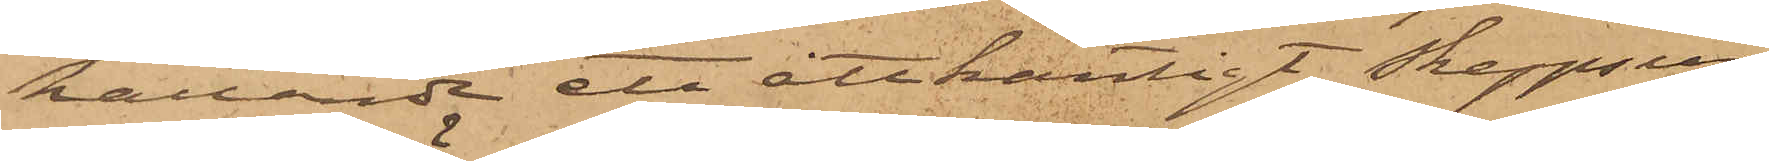hållande ett åttkantigt skeppsur,
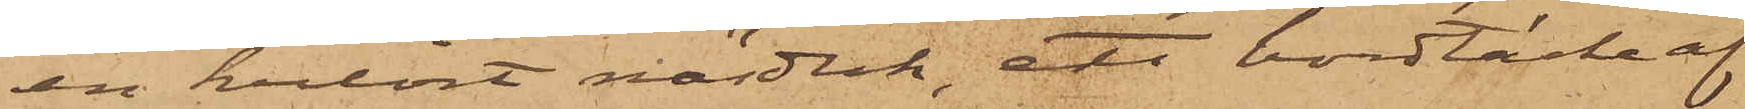en kulört näsduk; ett bordtäcke af
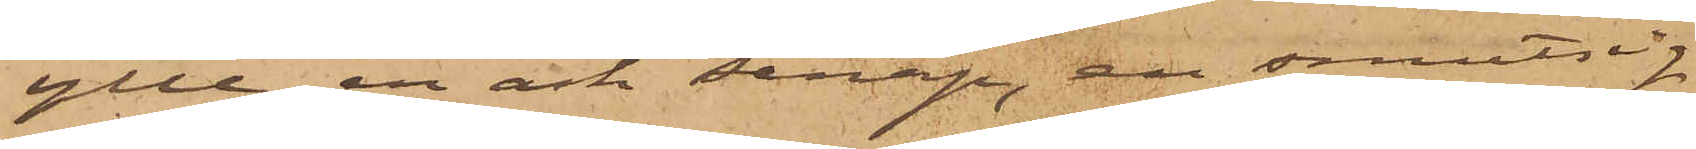ylle, en ask senap, en smutsig
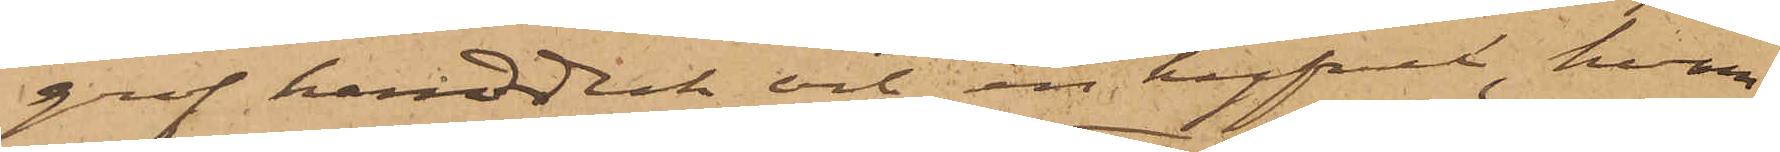grof handduk och en hyfvel, hvar¬
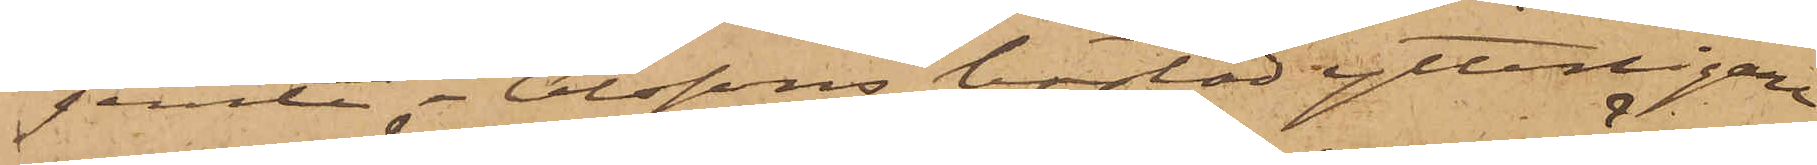jemte i Olssons bostad ytterligare
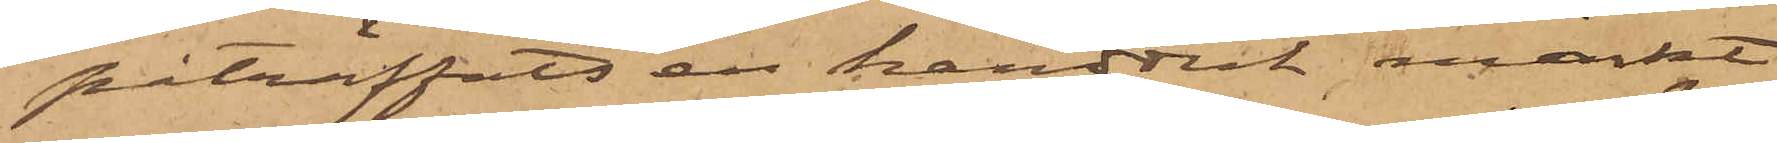påträffats en handduk märkt
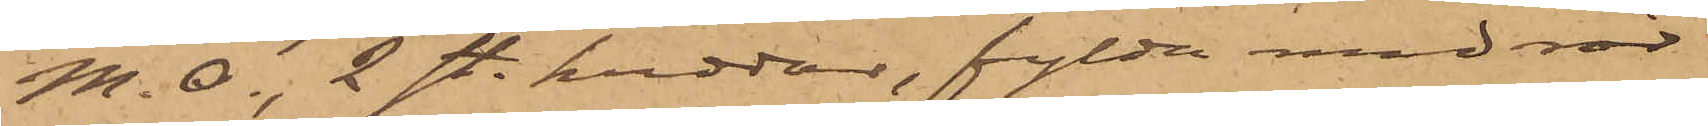M. O., 2 st. kuddar, fylda med rör¬
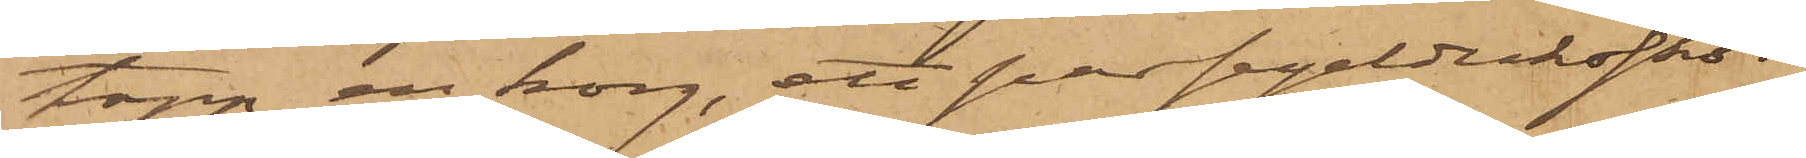topp, en korg, ett par segelduksskor,
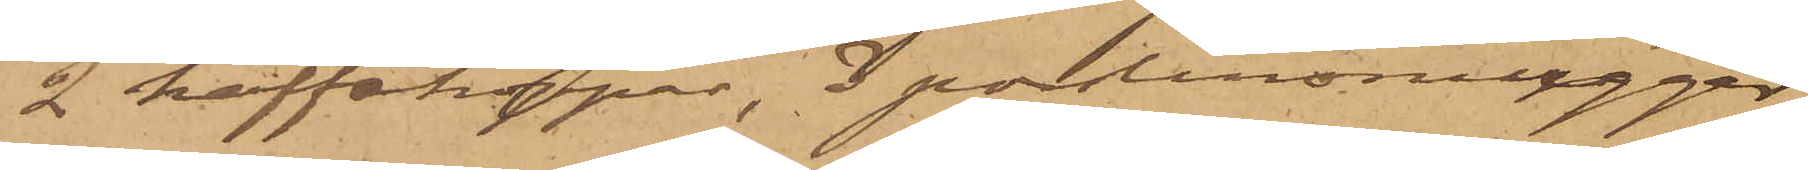2 kaffekoppar, 3 porslinmuggar,
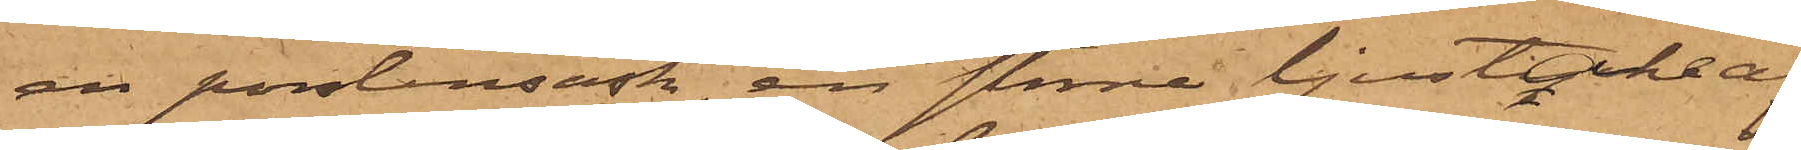en porslinsask, en större ljustake af
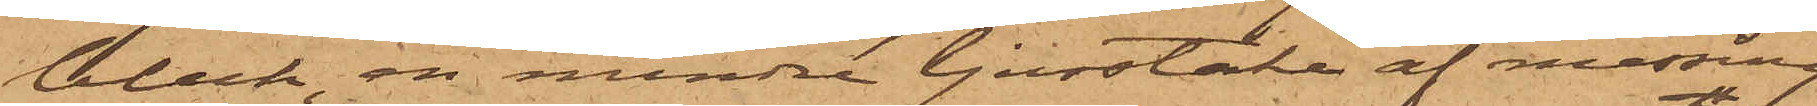bleck, en mindre ljusstake af messing
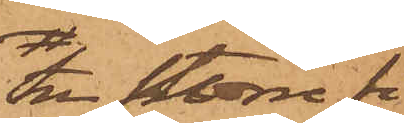tre större fi¬
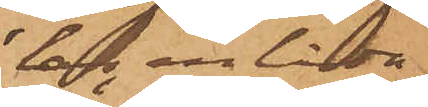lar, en låda
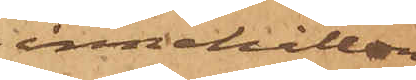innehållan¬
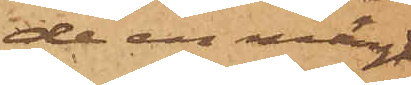de en mängd
